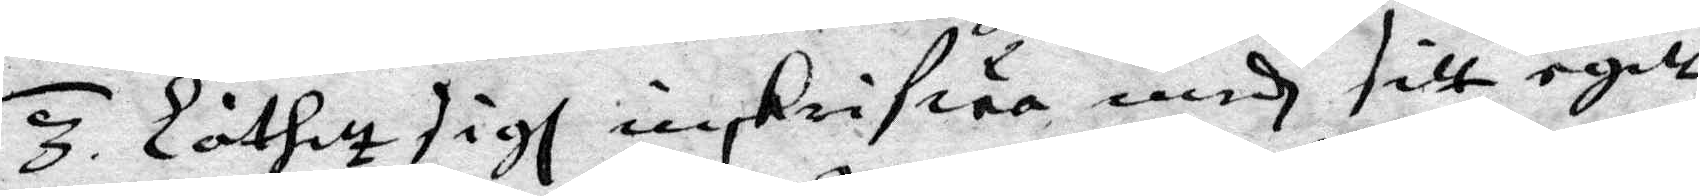3. Låtitt sigh inskrifwa medh sitt egitt
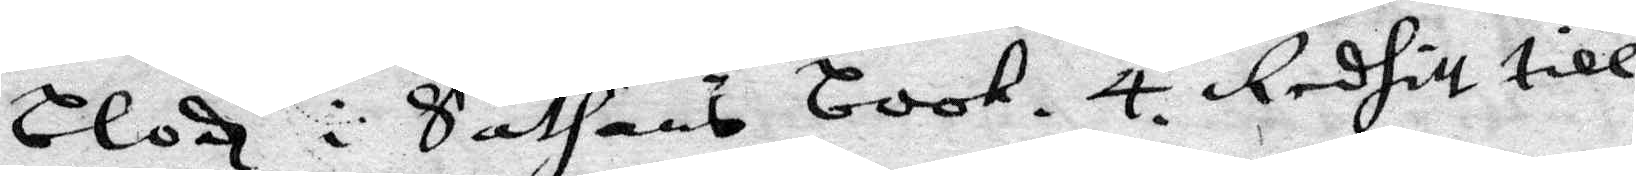Blodh i Sathans book. 4. reditt till
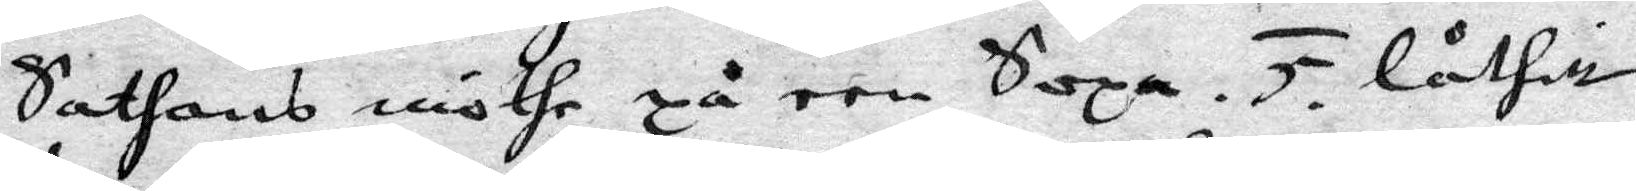Sathans möthe på een Sopa. 5. Låtitt
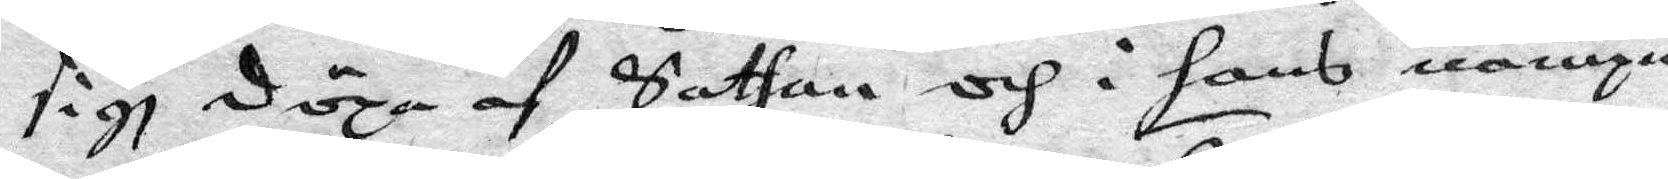sigh döpa af sathan och i hans nampn
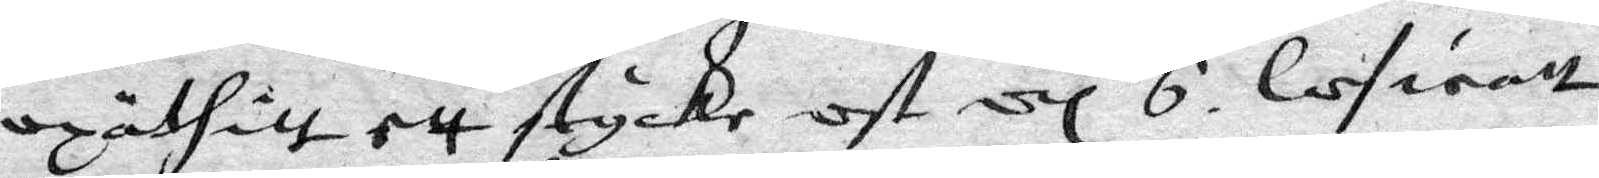opäthitt ett stycke ost 6. lofwatt
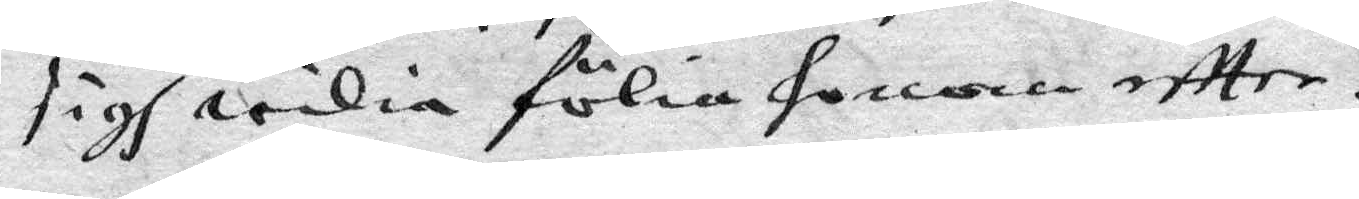sigh wilia fölia honom eftter.
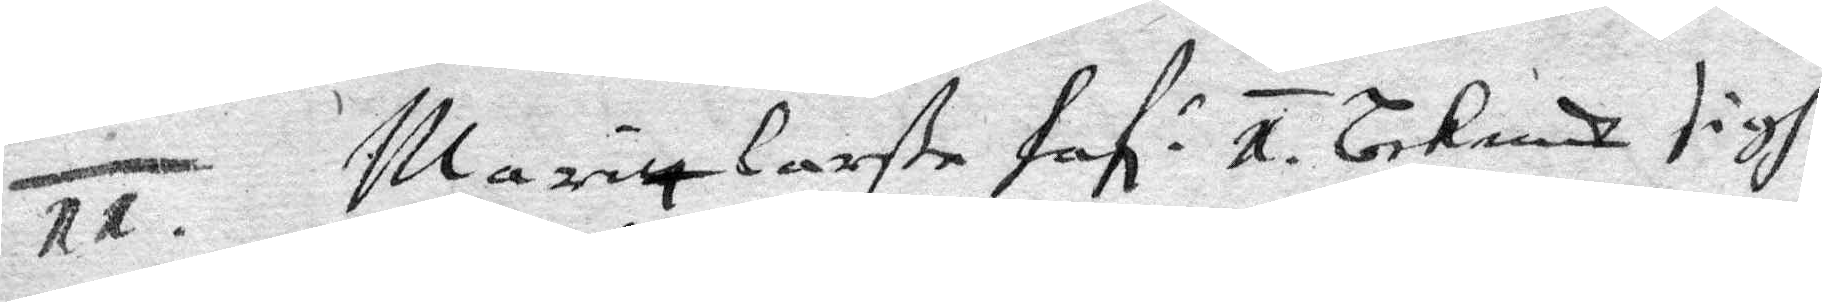11. Margitt Larße Haf: 1. Bekendt sigh
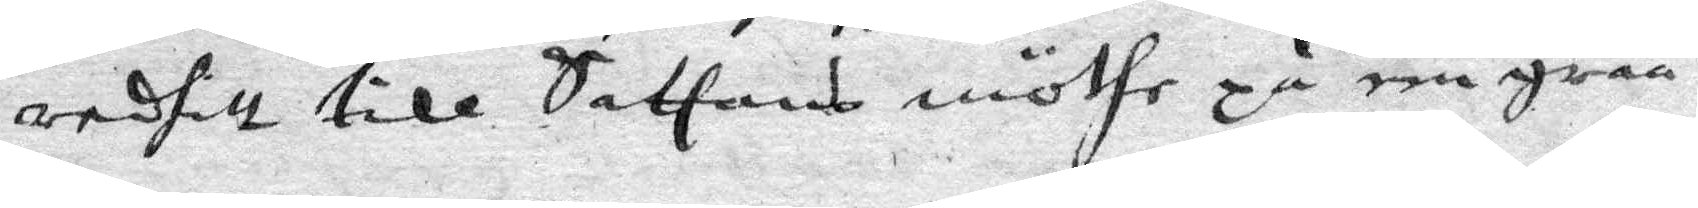reditt till Sathans möthe på een gråå
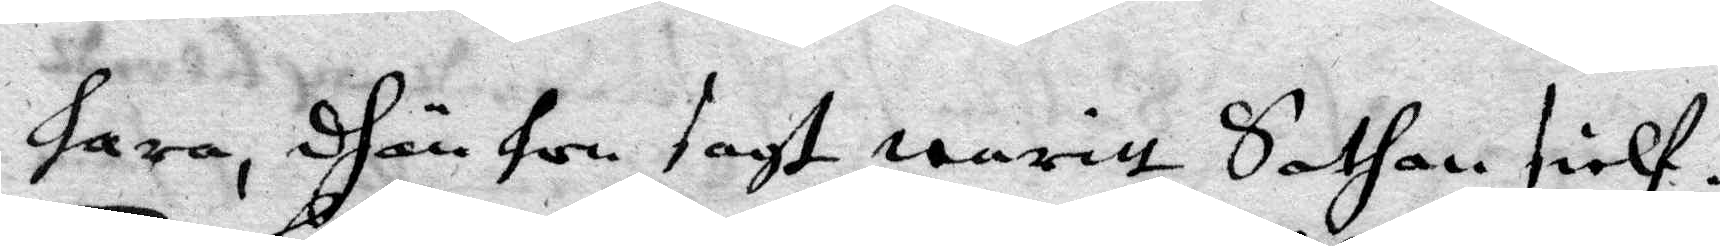fara, dhär hon sagt waritt Sathan sielf.
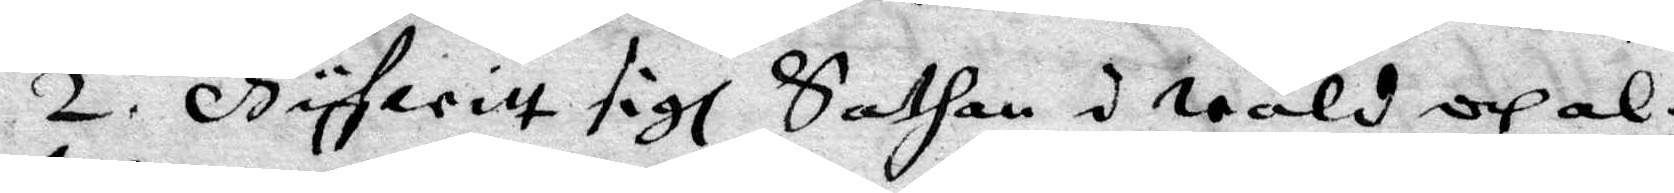2. Gyfwitt sigh Sathan i Wåld och al¬
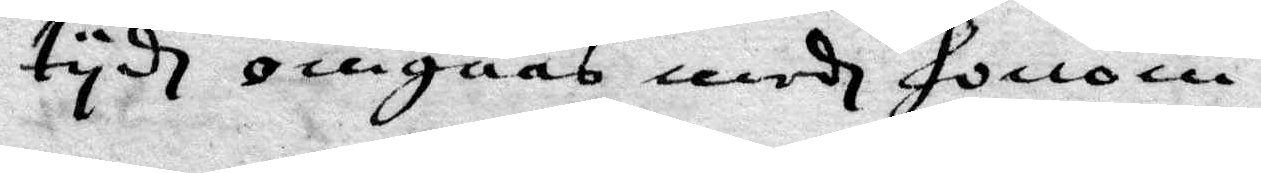tydh omgåås medh Honom.
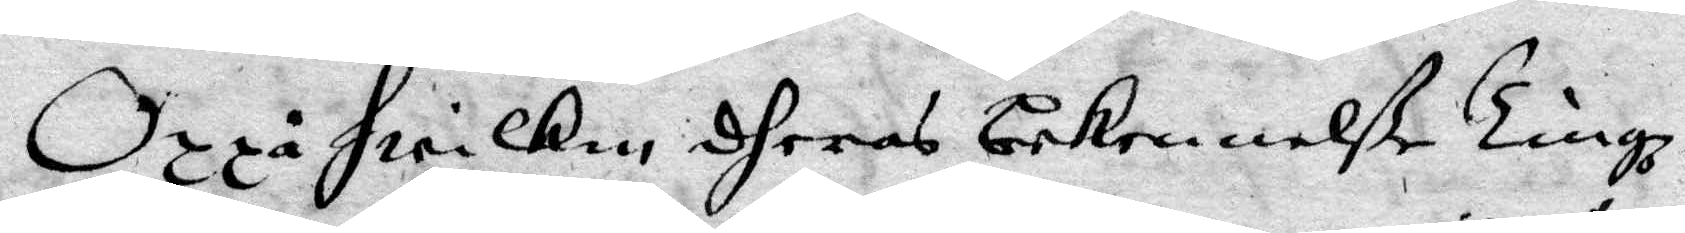Oppå Hwilken dheras bekennelße Tingz¬
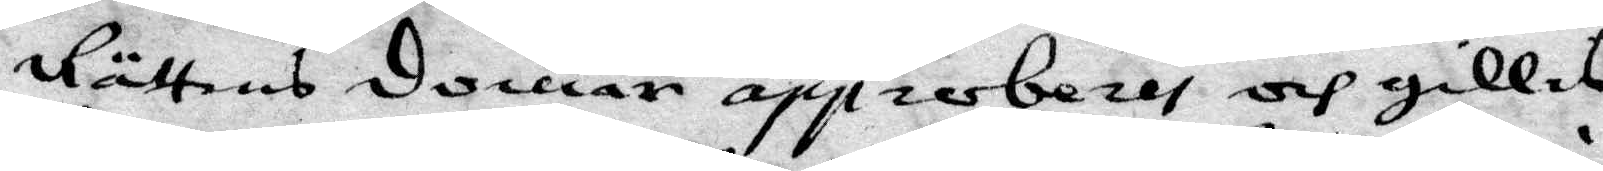Rättens domar approberas och gillas,
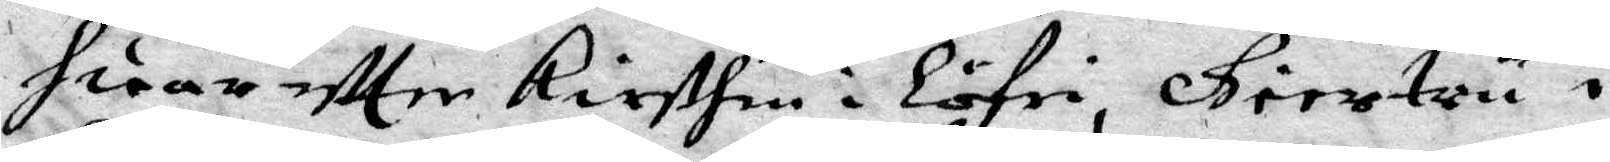Huar eftter Kirsthen i Löfri, Giertru i
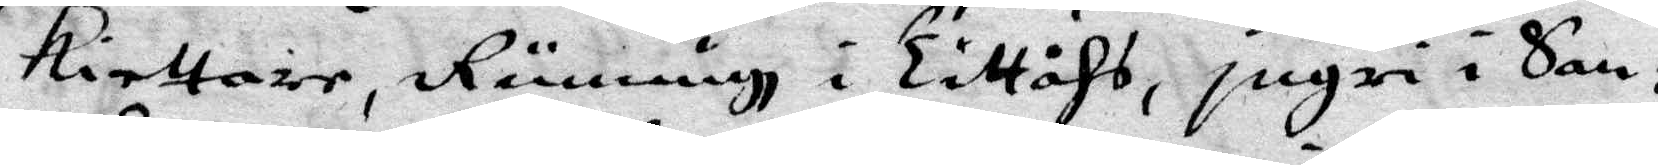Kiettare, Runnigh i Tittåhs, Ingri i San¬
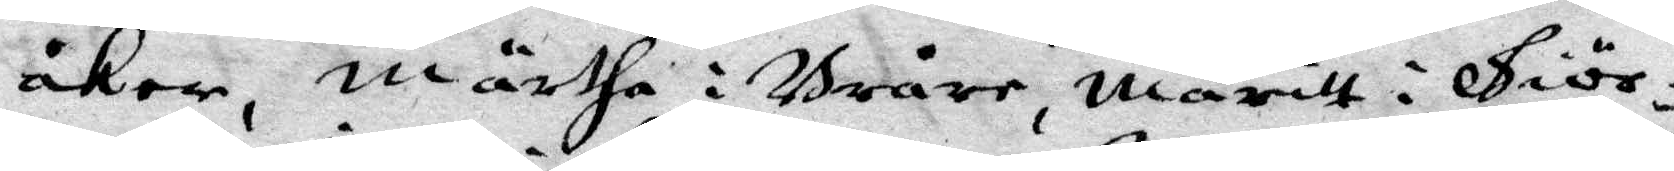åker, Märtha i Bråre, Maritt i Giör¬
